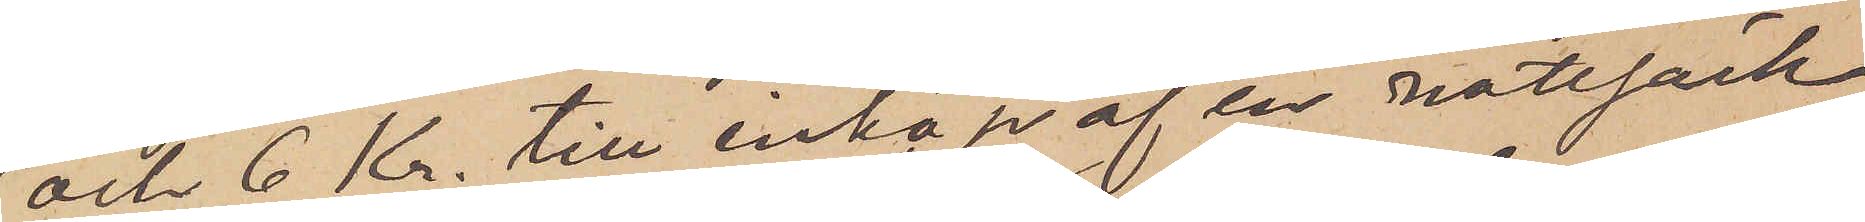och 6 Kr. till inköp af en nattsäck
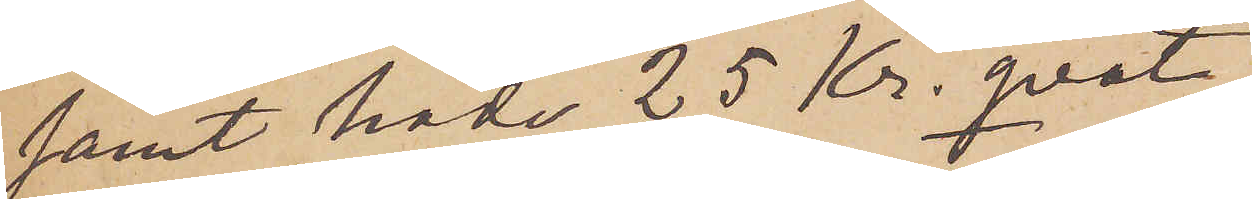samt hade 25 Kr. qvar,
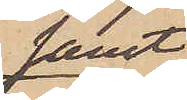samt
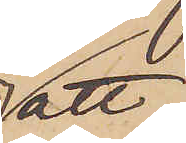att
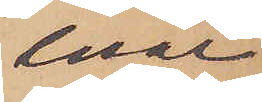enär
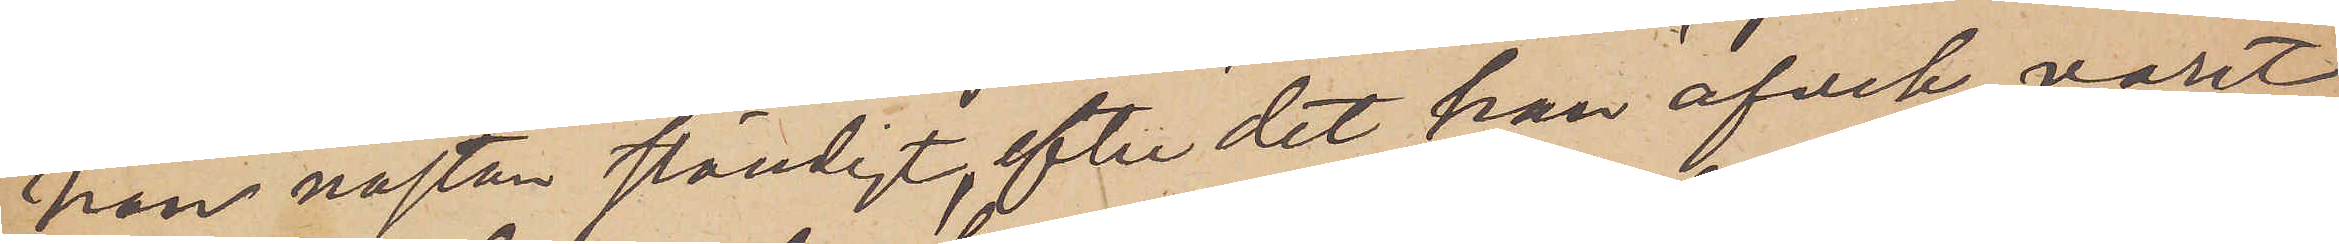han nästan ständigt, efter det han afvek, varit
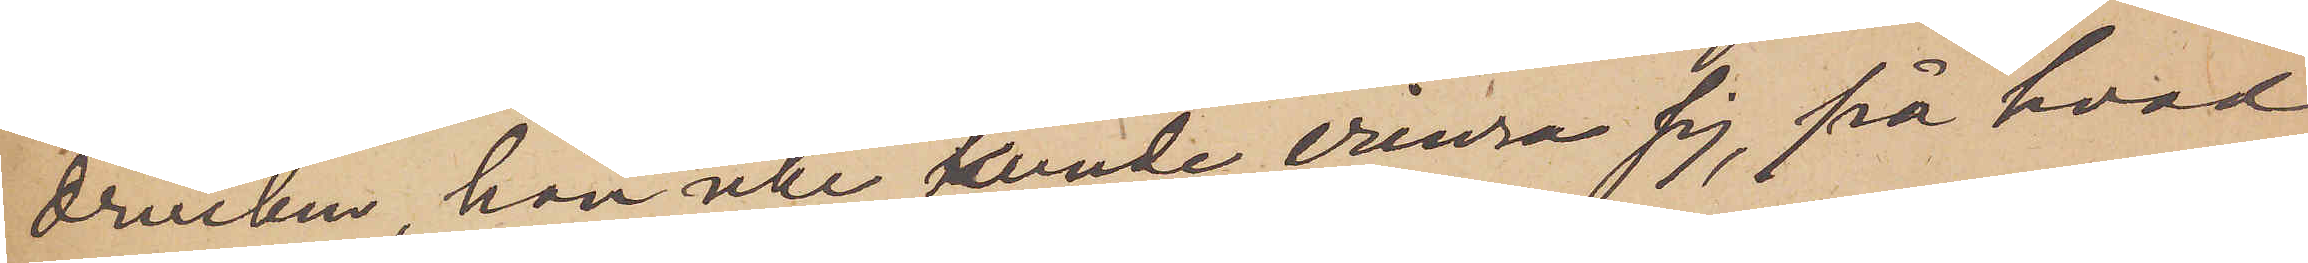drucken, han icke kunde erinra sig, på hvad
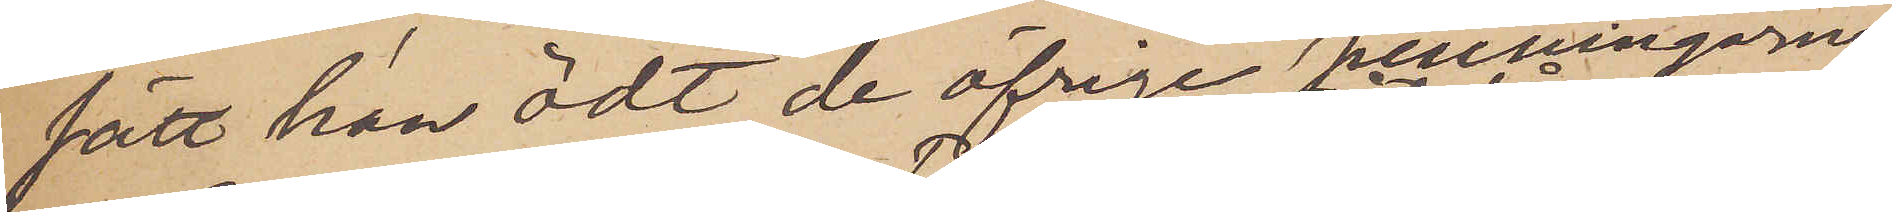sätt han ödt de öfrige penningarne.
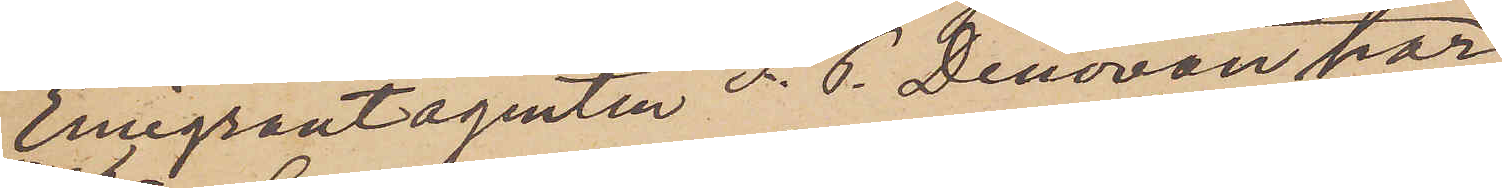Emigrantagenten P. G. Denovan har
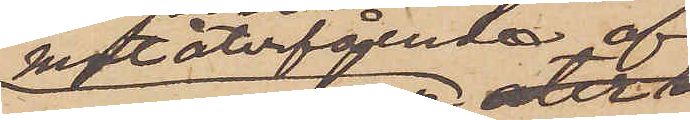mot återfående af
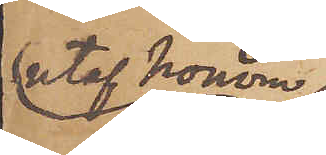utaf honom
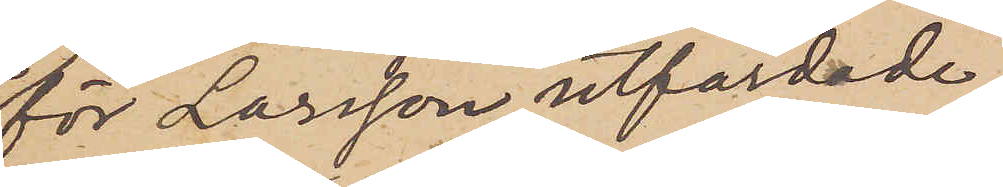för Larsson utfärdade
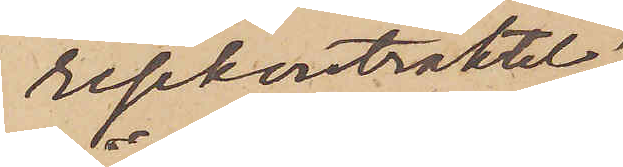reskontraktet
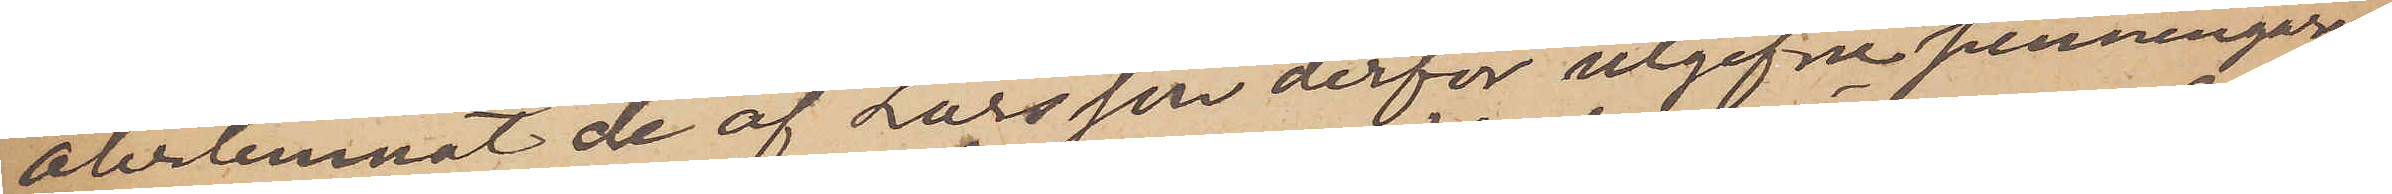återlemnat de af Larsson derför utgifne penningarne,
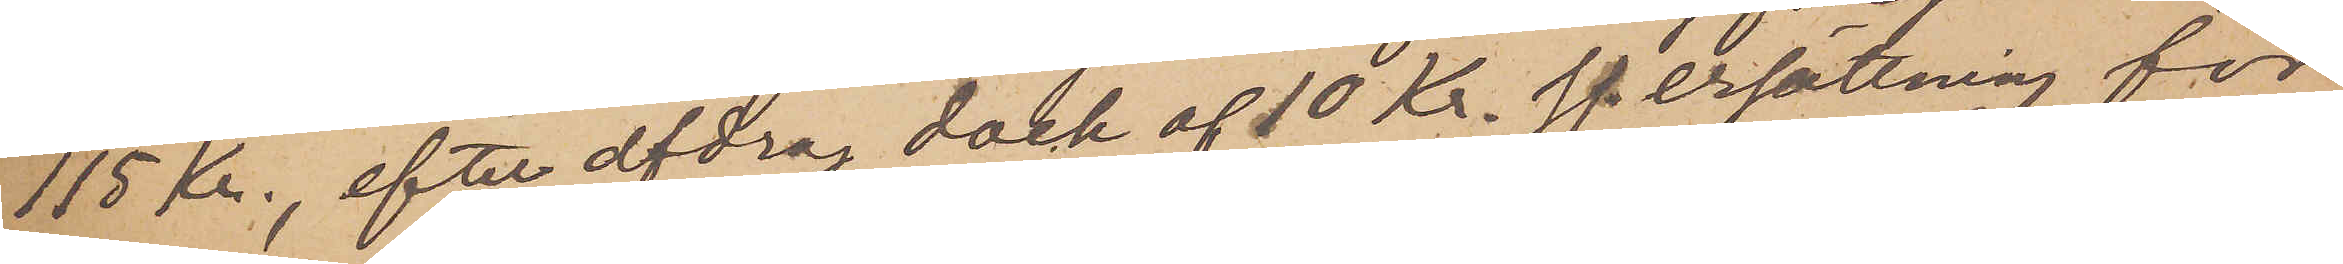115 Kr., efter afdrag dock af 10 Kr. ss. ersättning för
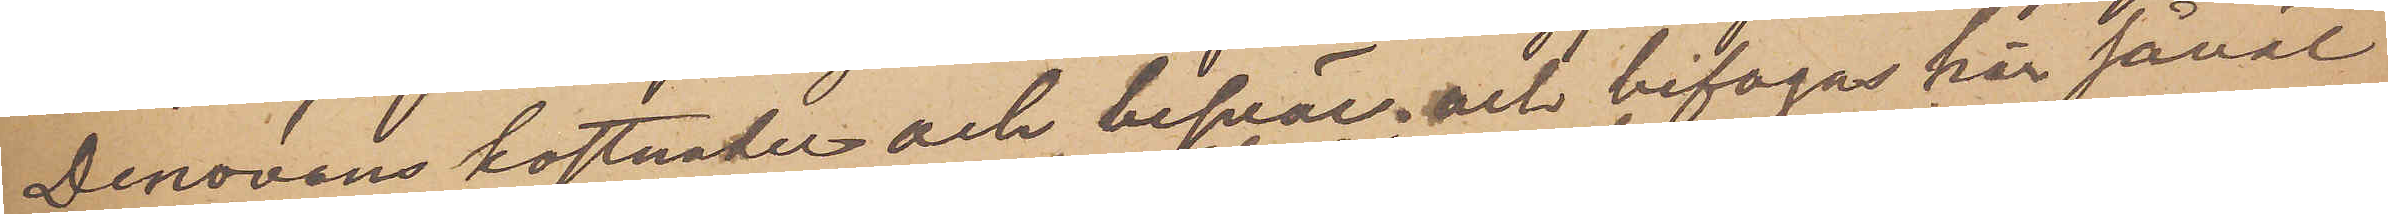Denovans kostnader och besvär; och bifogas här såväl
